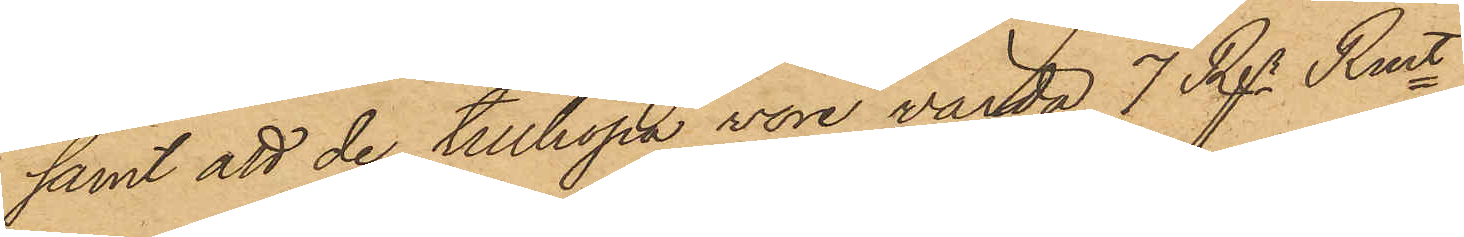samt att de tillhopa vore värda 7 Rdr Rmt.
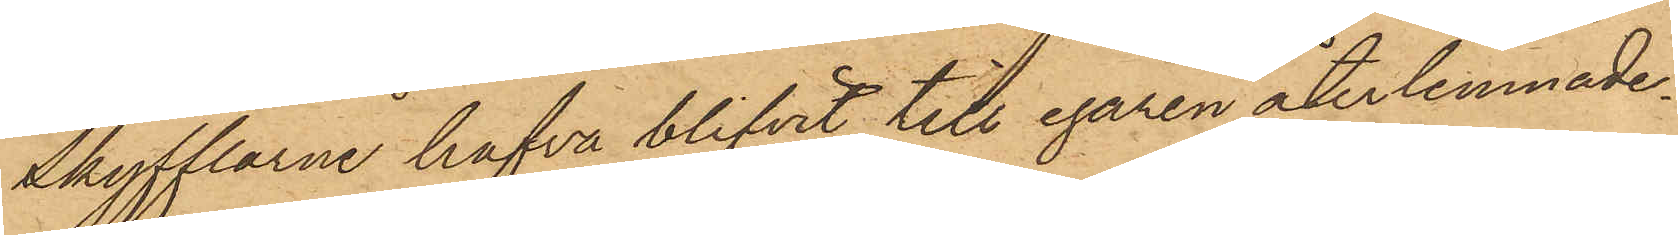Skyfflarne hafva blifvit till egaren återlemnade.
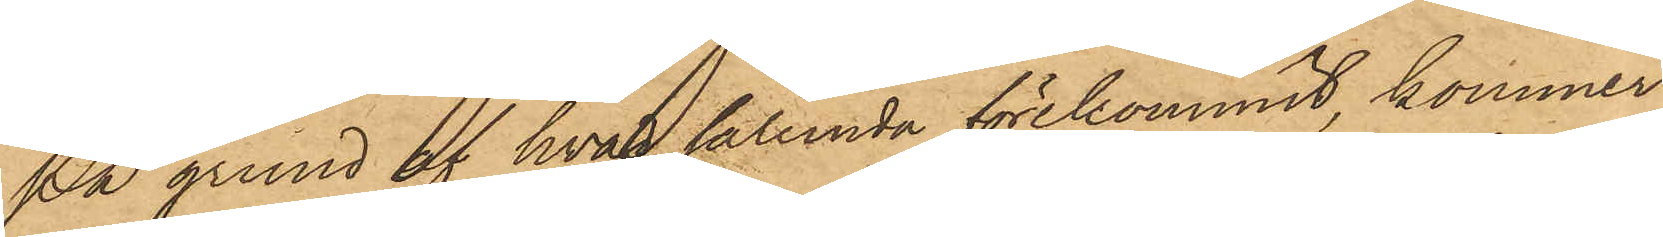På grund af hvad sålunda förekommit, kommer
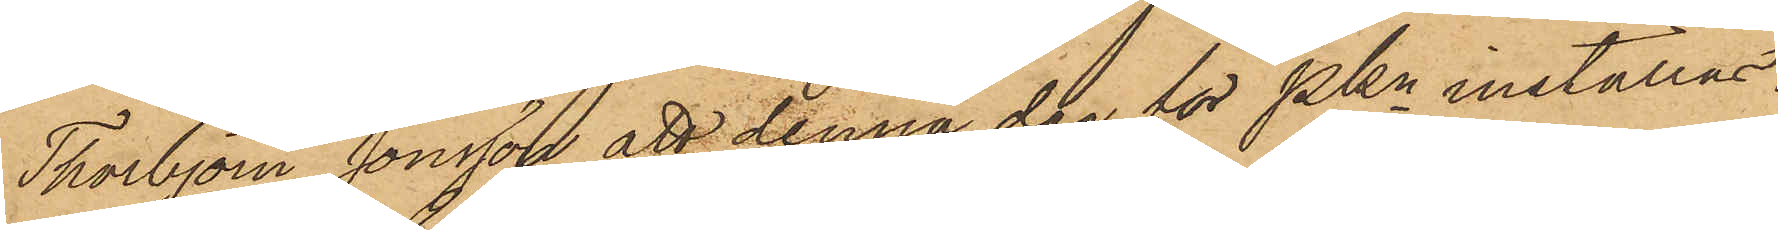Thorbjörn Jonsson att denna dag för PKn inställas.
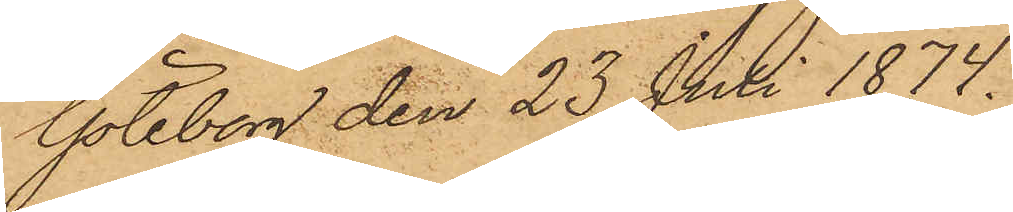Göteborg den 23 Juli 1874.
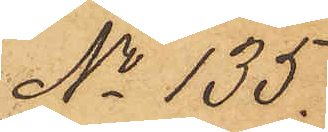No 135.
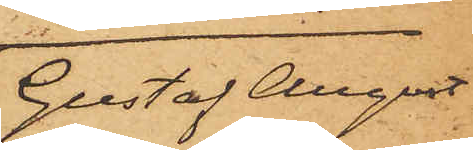Gustaf August 
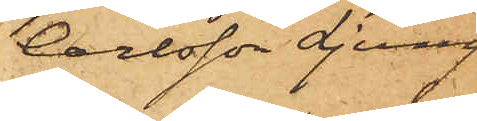Carlsson Ljung
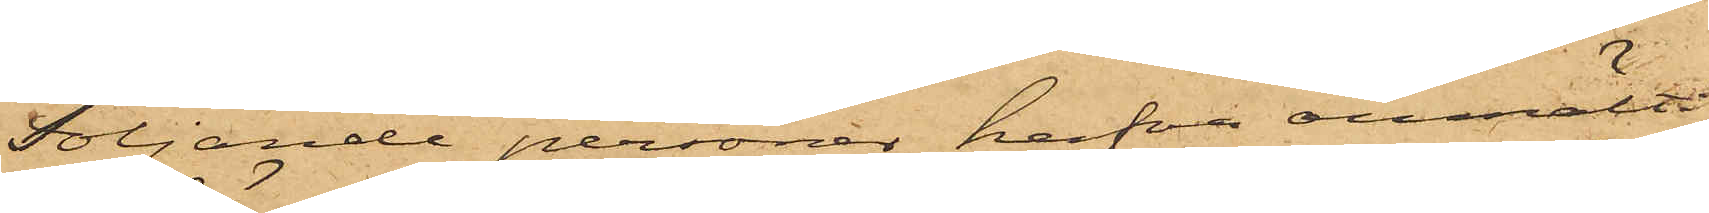Följande personer hafva anmält:
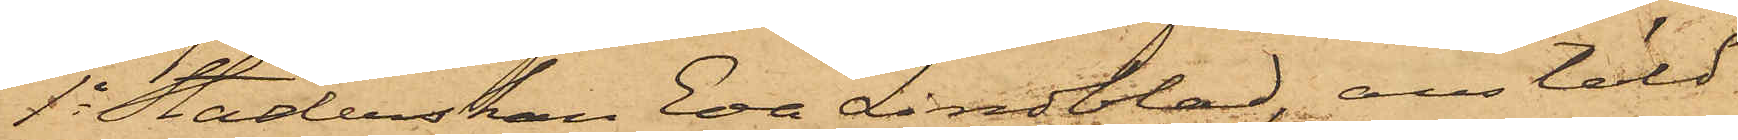1o Städerskan Eva Lindblad, anstäld
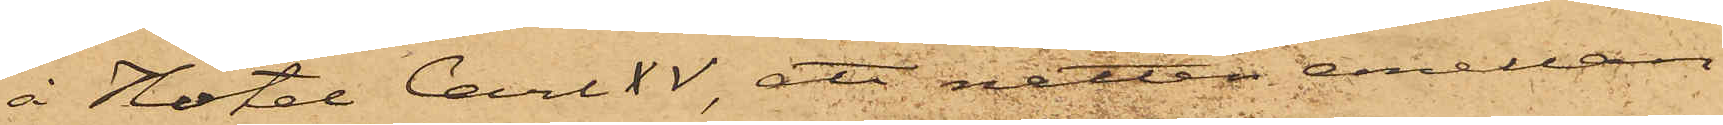å Hötel Carl XV, att natten emellan
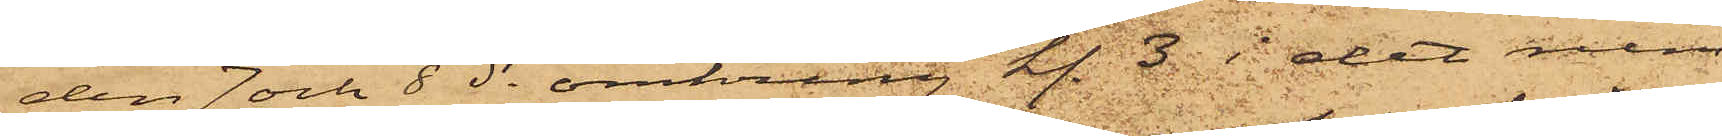den 7 och 8 ds omkring kl. 3  i det rum,
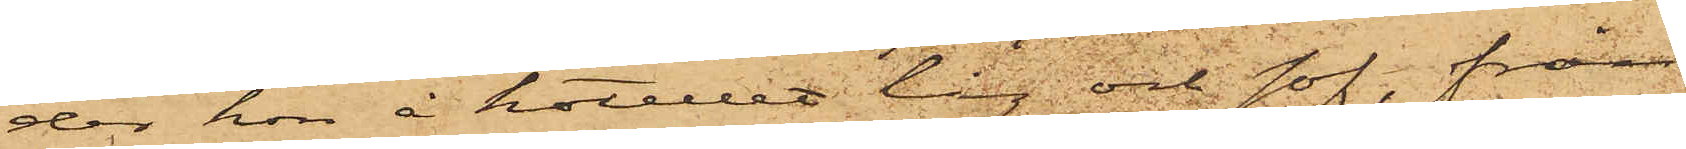der hon å hotellet låg och sof, från
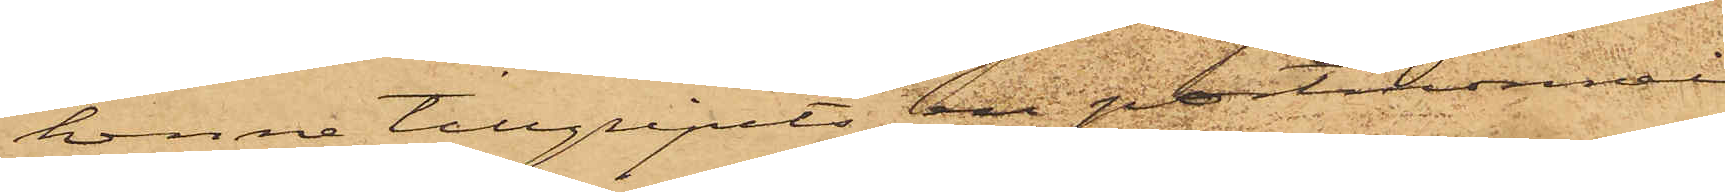henne tillgripits en portmonnai
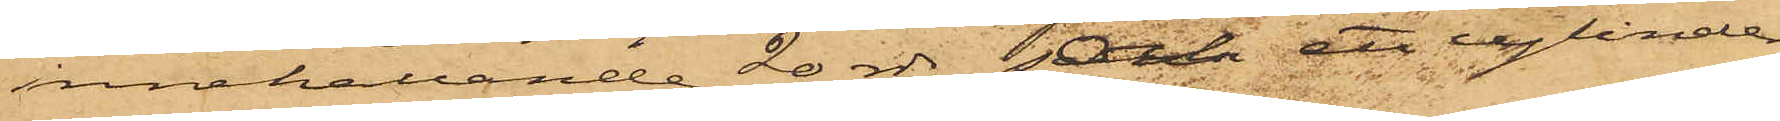innehållande 20 rdr och ett cylinder¬
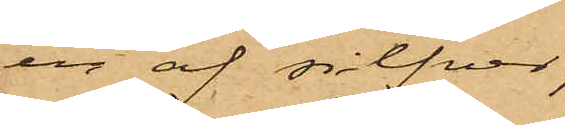ur af silfver;
